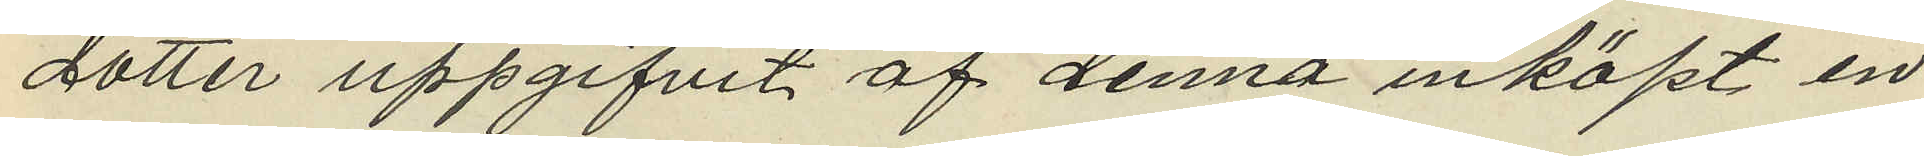dotter uppgifvit af denna inköpt en
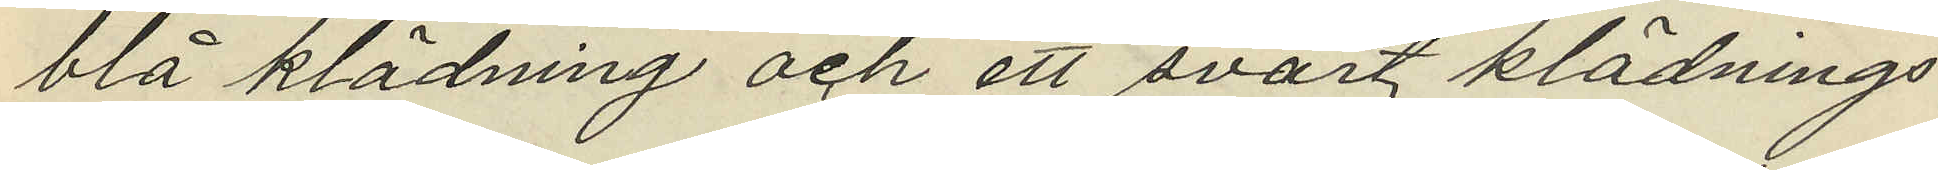blå klädning och ett svart klädnings¬
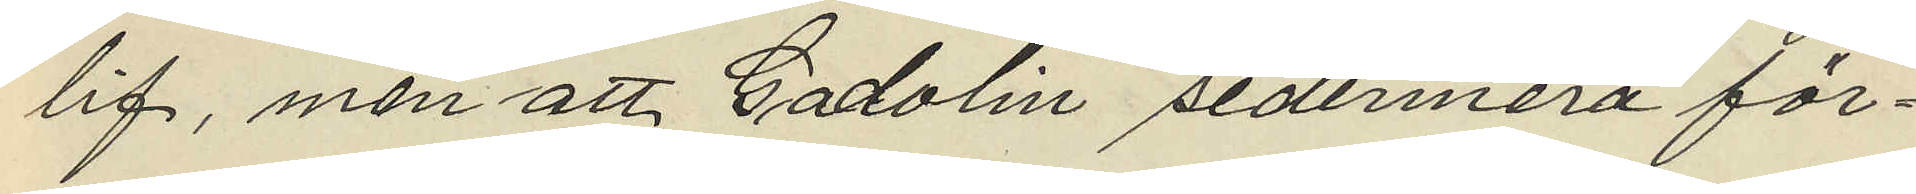lig, men att Gadolin sedermera för¬
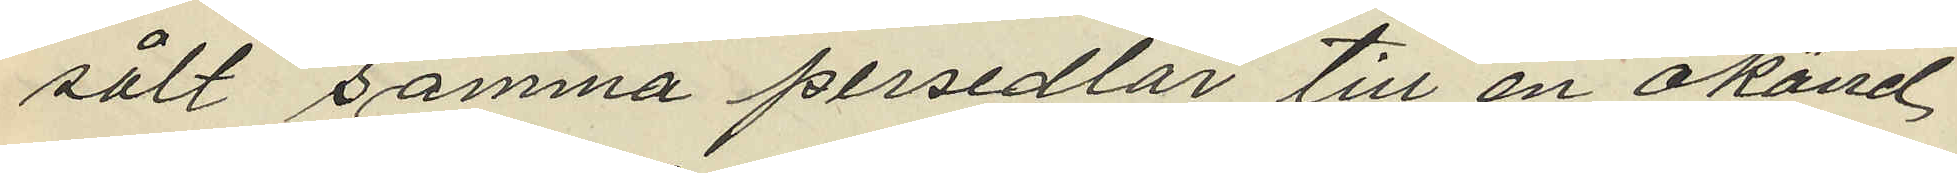sålt samma persedlar till en okänd
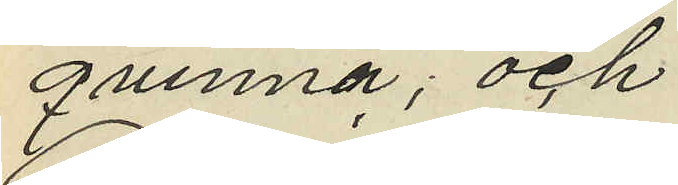qvinna; och
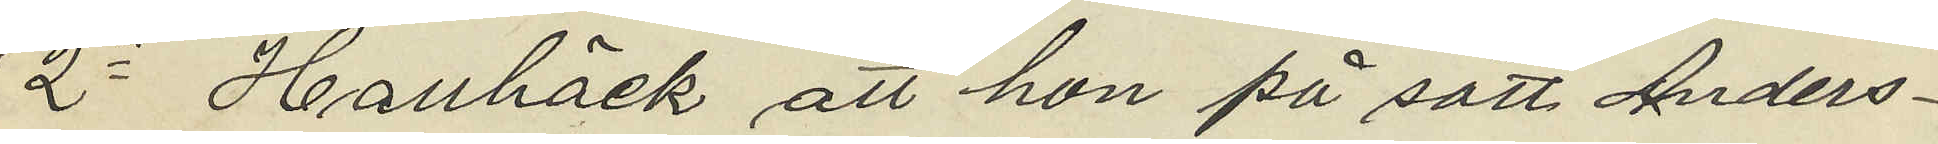2o Hallbäck att hon på sätt Anders¬
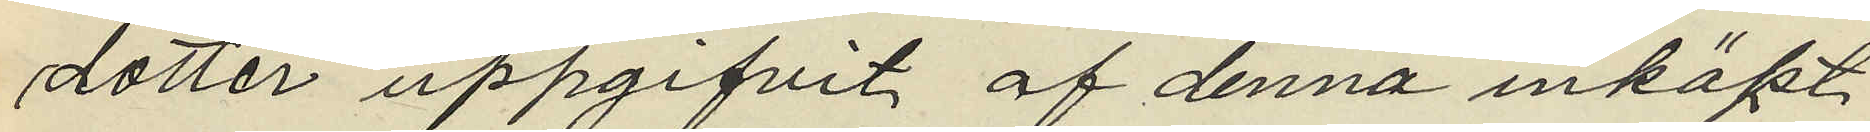dotter uppgifvit af denna inköpt
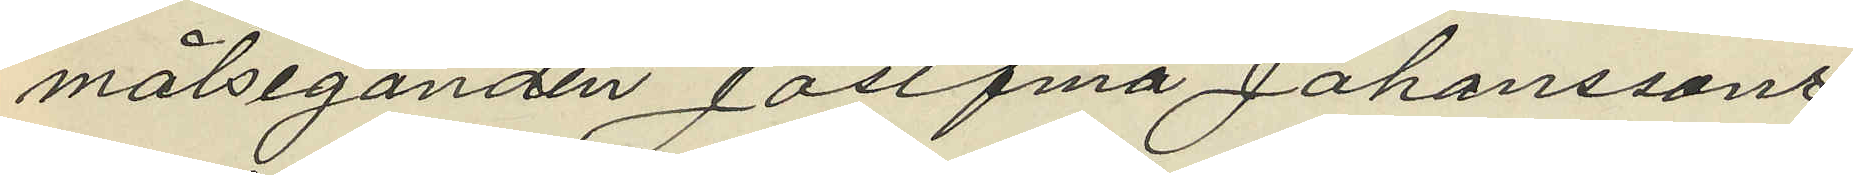målseganden Josefina Johanssons
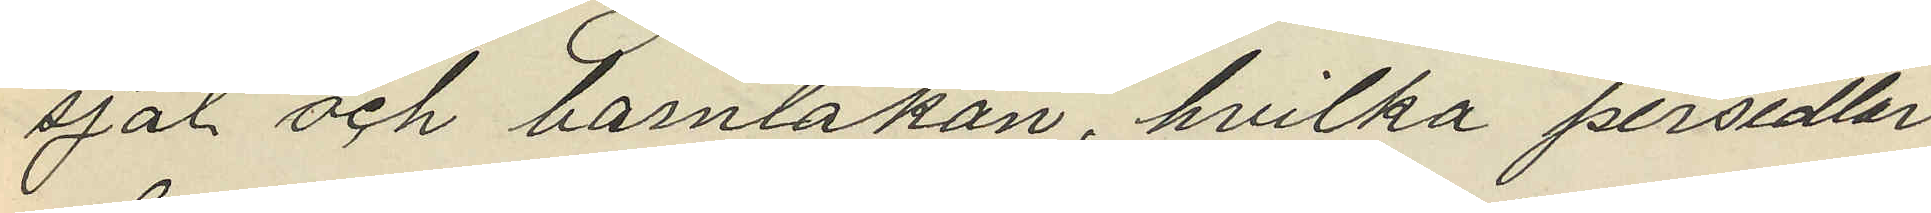sjal och barnlakan, hvilka persedlar
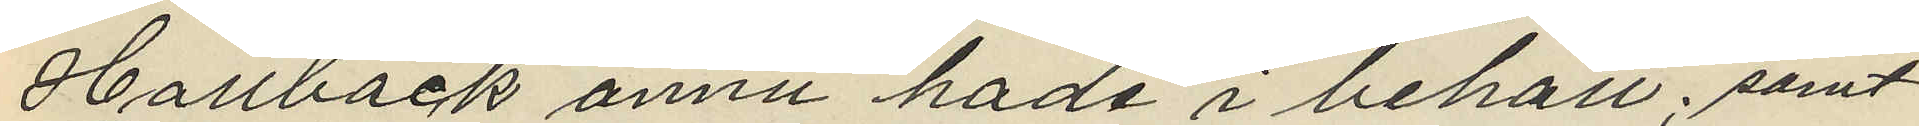Hallbäck ännu hade i behåll; samt
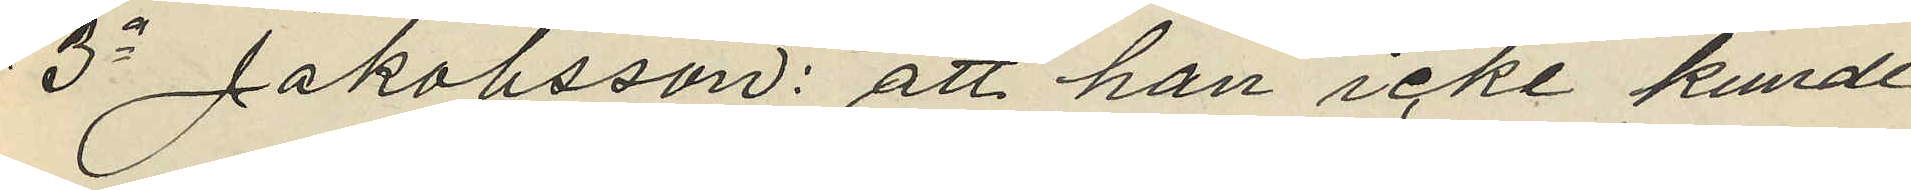3o Jakobsson: att hon icke kunde
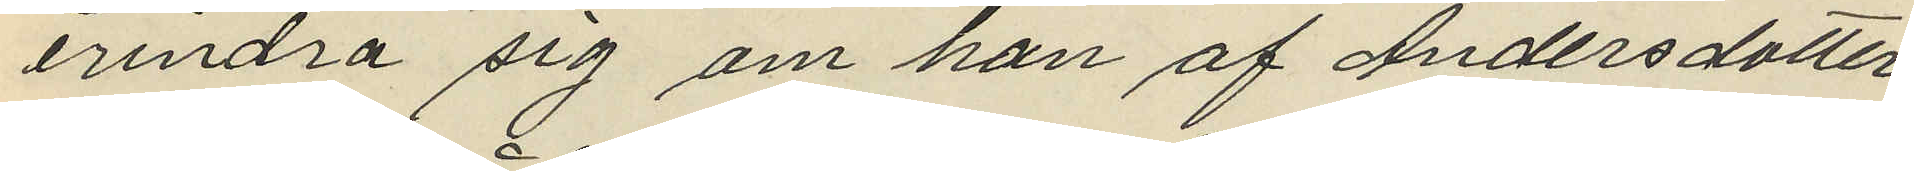erindra sig om hon af Andersdotter
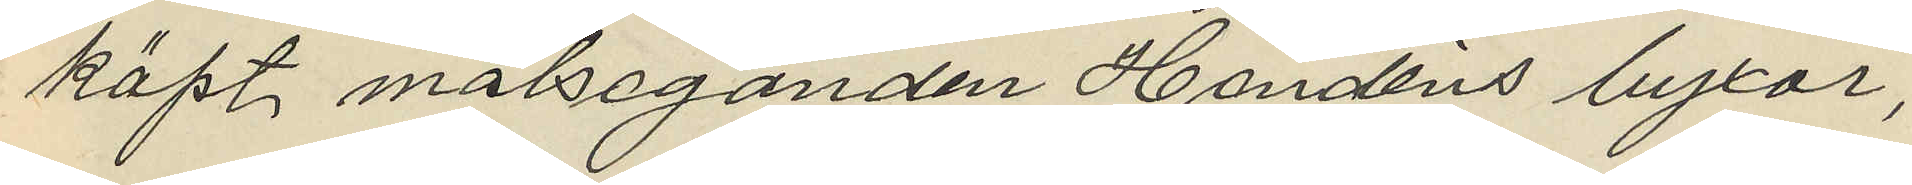köpt målseganden Handéns byxor,
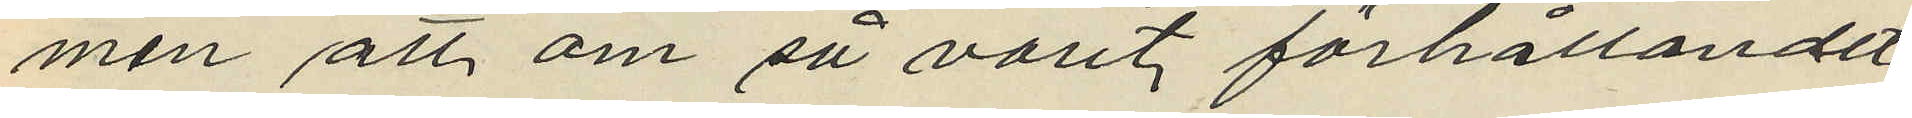men att om så varit förhållandet
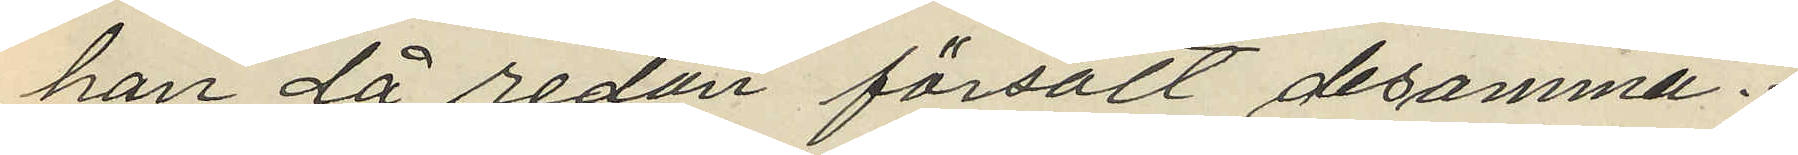hon då redan försålt desamma.
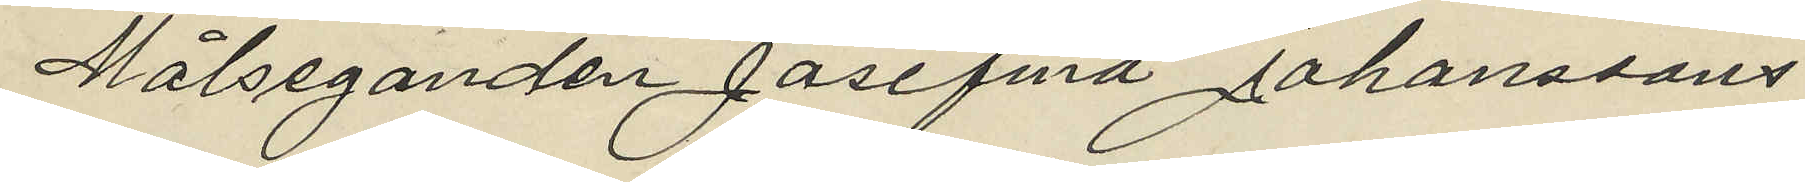Målseganden Josefina Johanssons
